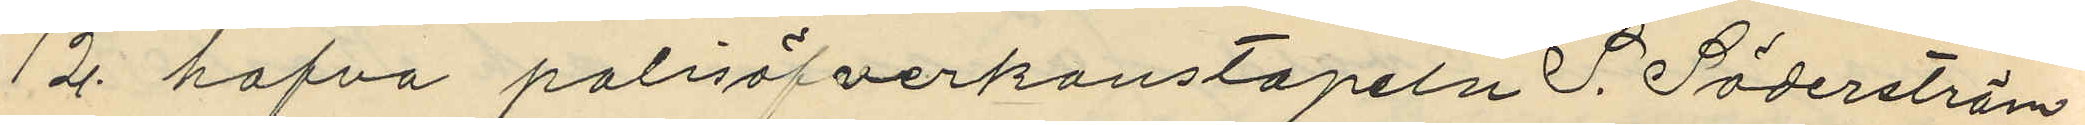12 hafva polisöfverkonstapeln S. Söderström
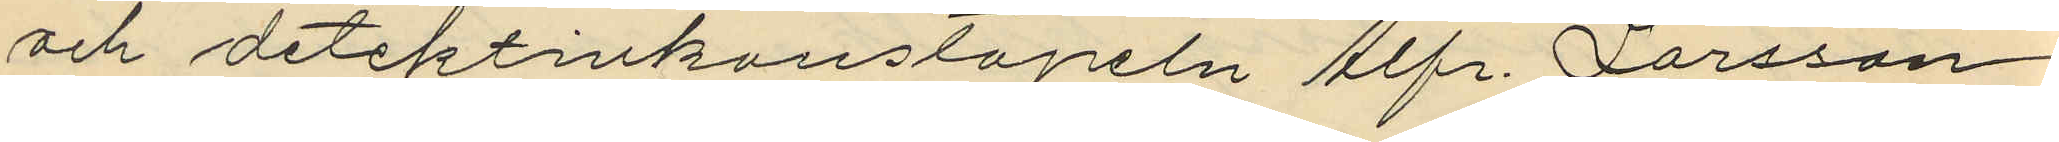och detektivkonstapeln Alfr. Larsson
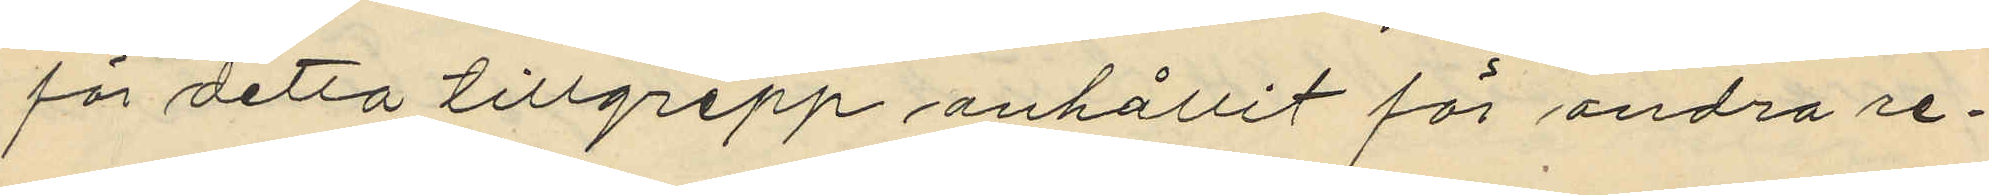för detta tillgrepp anhållit för andra re¬
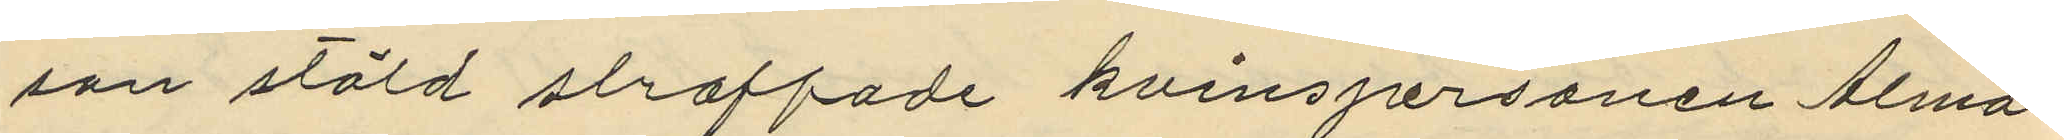san stöld straffade kvinspersonen Alma
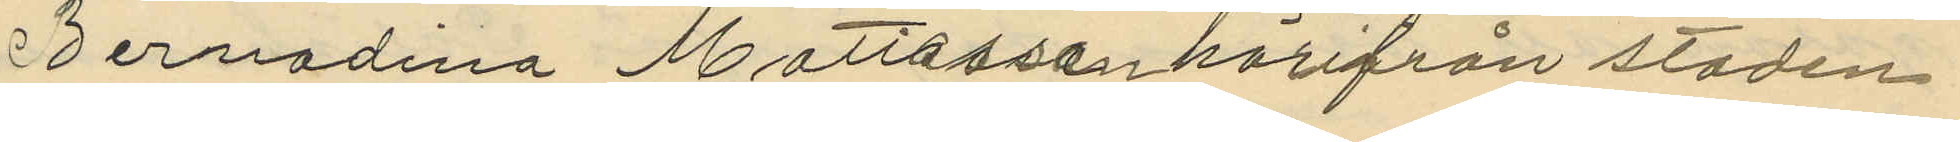Bernadina Mattiasson härifrån staden,
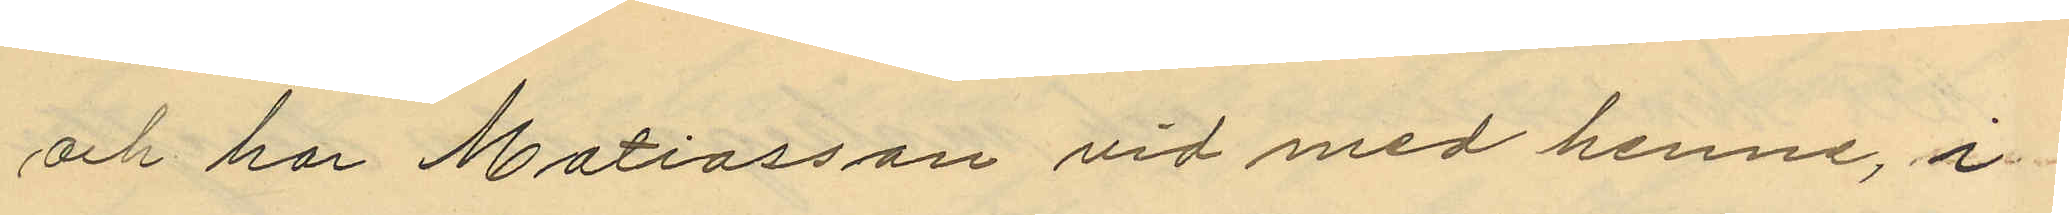och har Mattiasson vid med henne, å
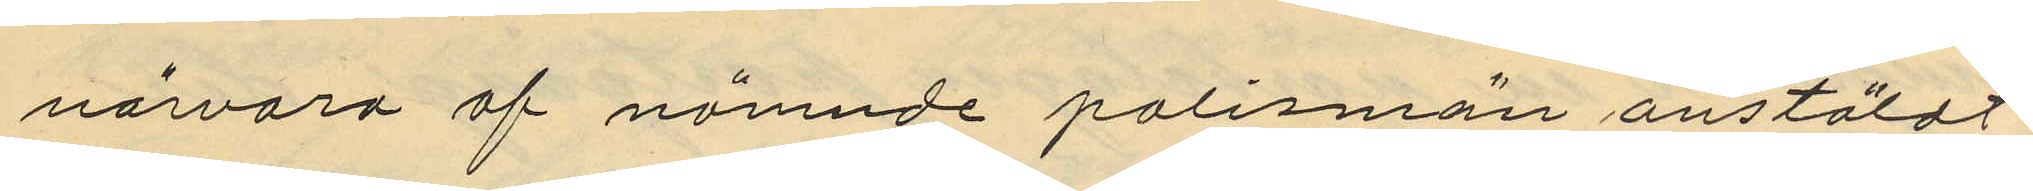närvaro af nämnde polismän anstäldt
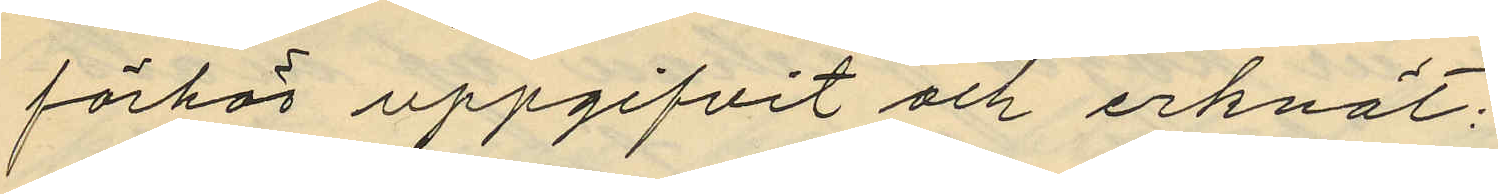förhör uppgifvit och erkänt;
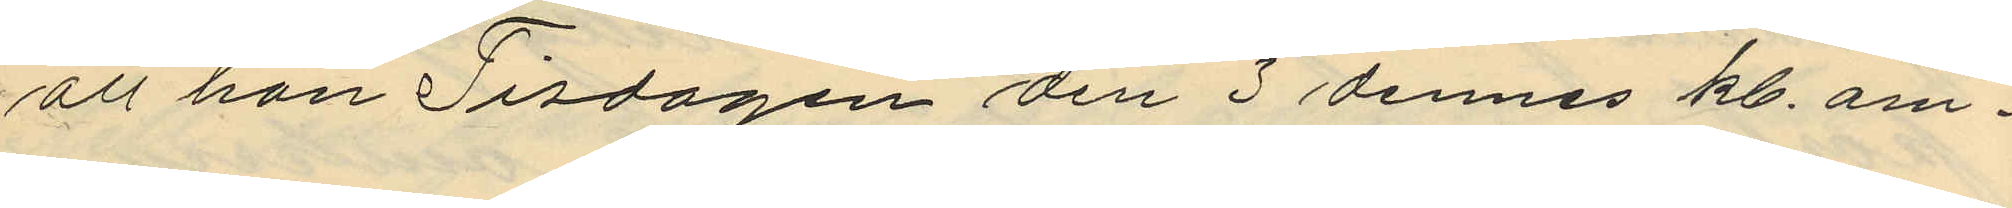att hon Tisdagen den 3 dennes kl. om¬
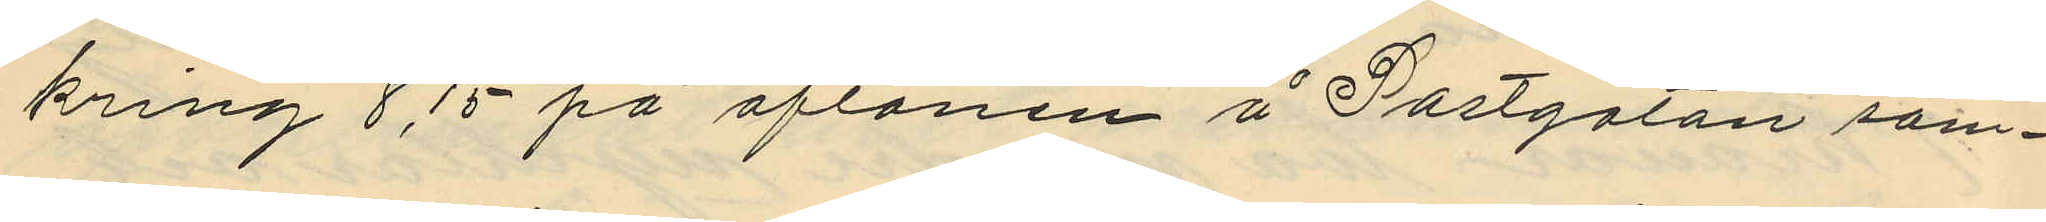kring 8,15 på aftonen å Postgatan sam¬
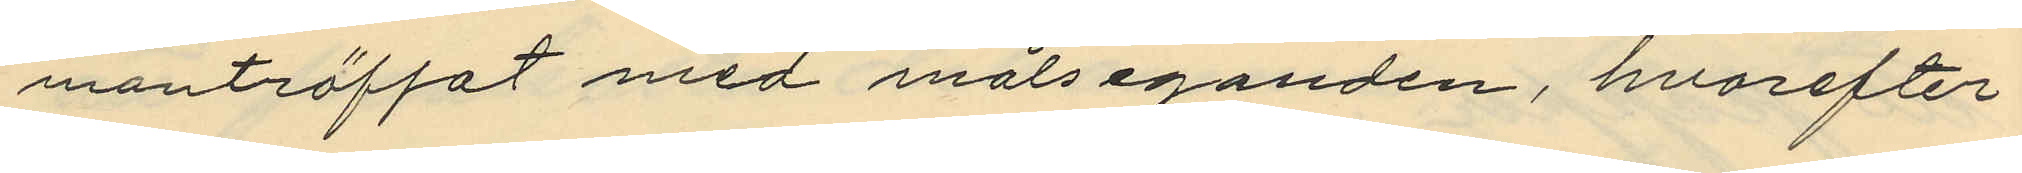manträffat med målseganden, hvarefter
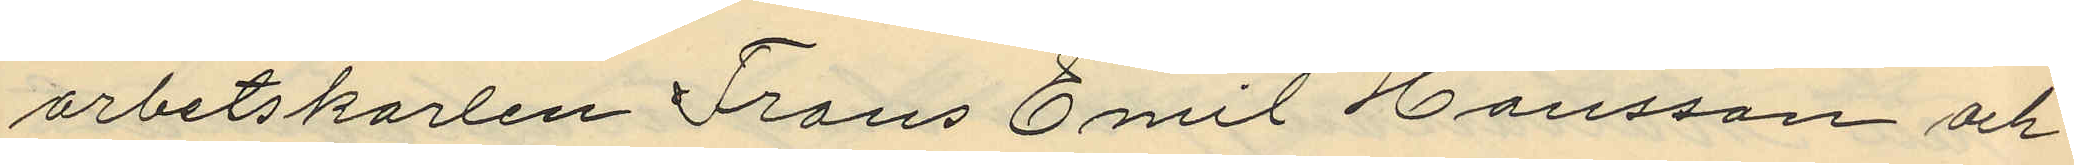arbetskarlen Frans Emil Hansson och
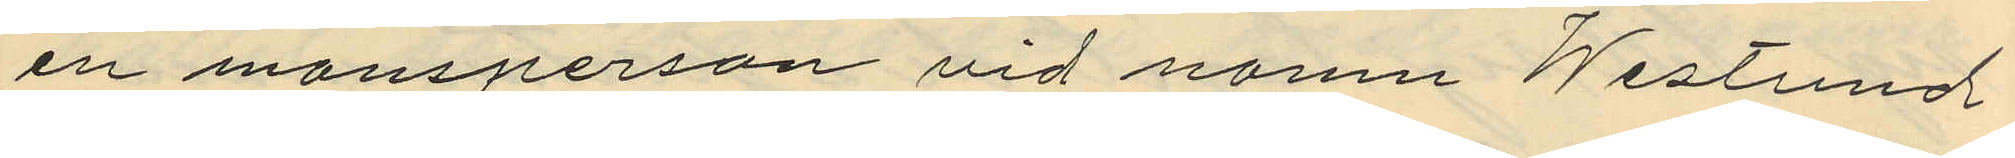en mansperson vid namn Westund
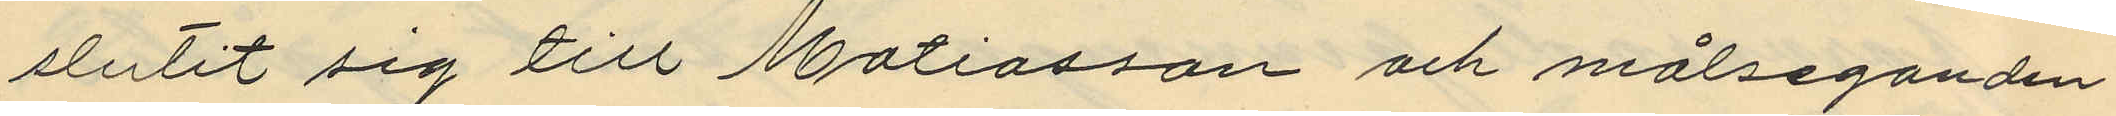slutit sig till Matiasson och målseganden
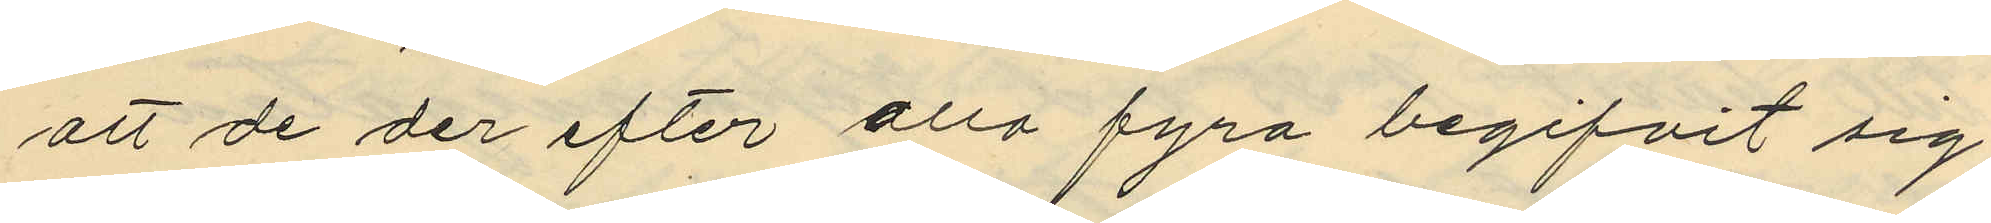att de der efter alla fyra begifvit sig
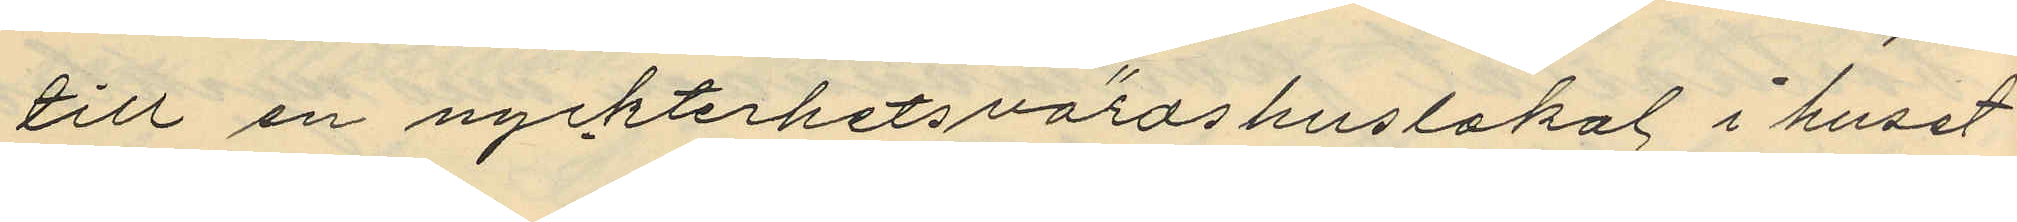till en nyckterhetsvärdshuslokal i huset
